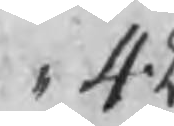,, 42
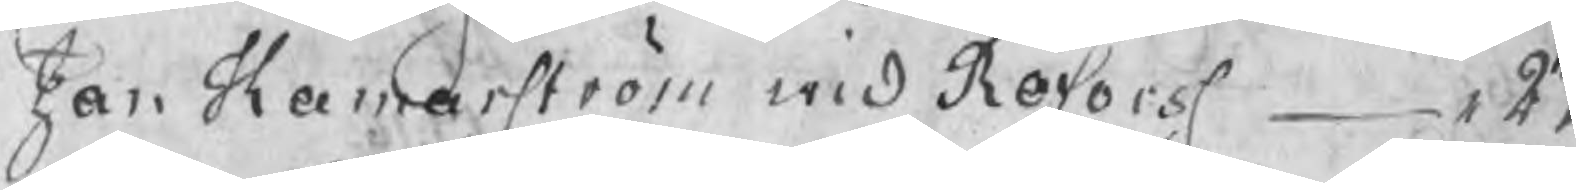Jan Hamarström wid Röfors ,, 27
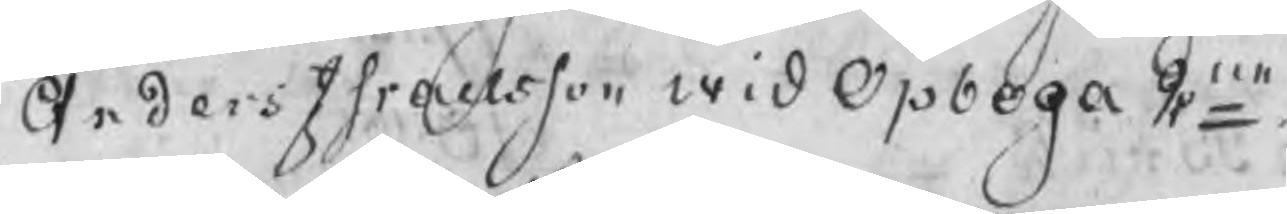Anders Israelsson wid Opboga 2ne
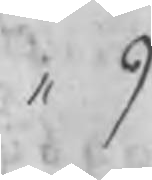,, 9
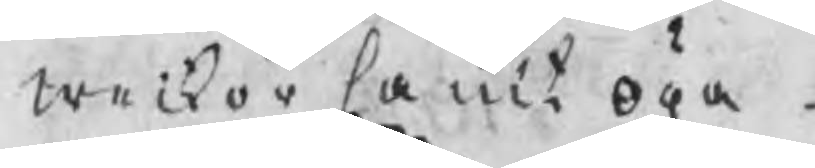weckor samt öga
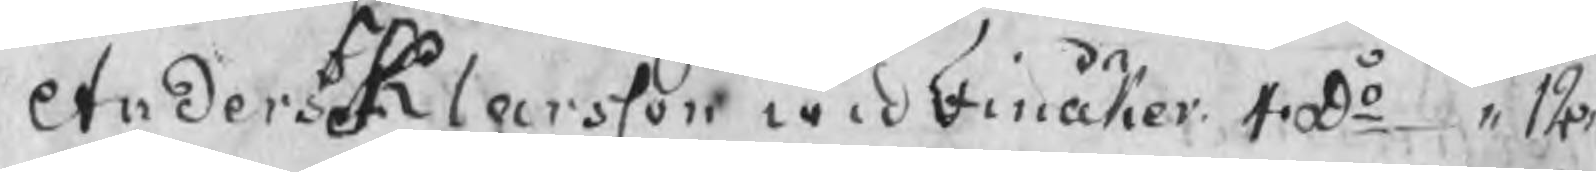Anders Klarsson wid Finåker 4 Do ,, 12
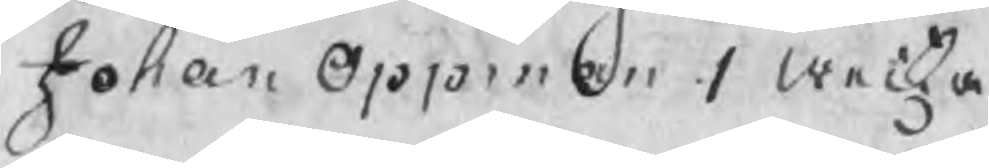Johan Oppman 1 wecka
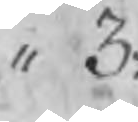,, 3:
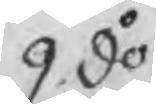9 do
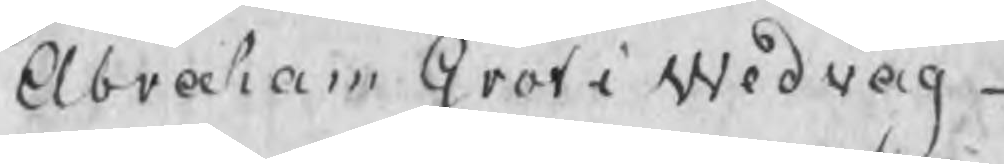Abrbaham Graf i Wedvåg
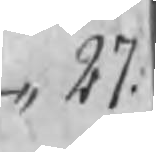,, 27:
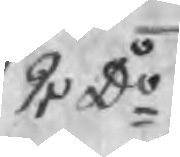2 Do
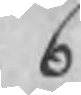6
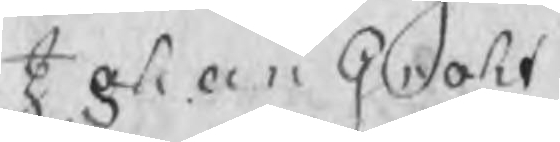Johan Groht
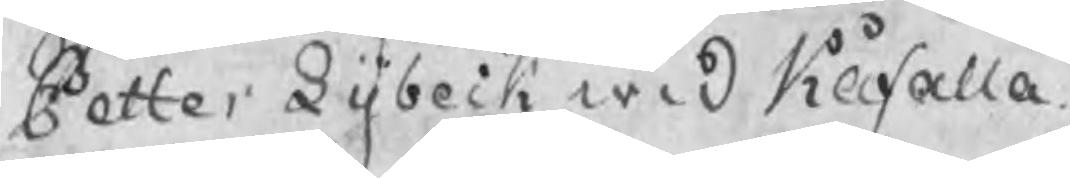Petter Dybeck wid Kåfalla
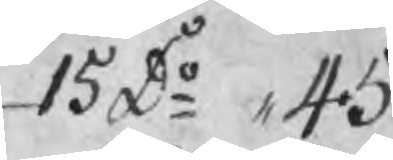15 Do ,, 45
